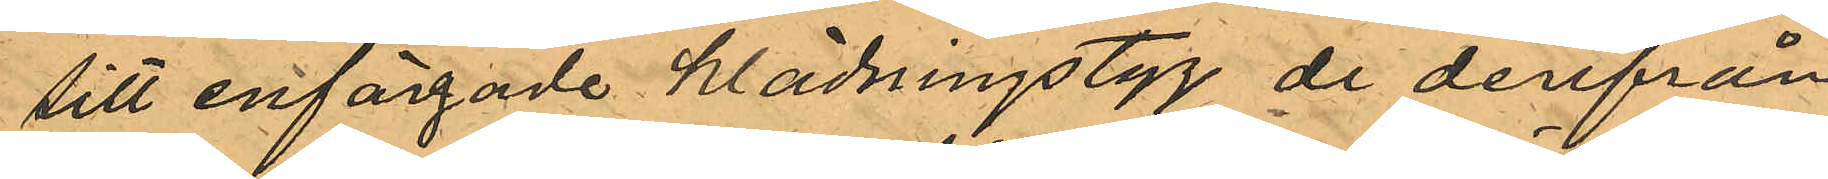sitt enfärgade klädningstyg de derifrån
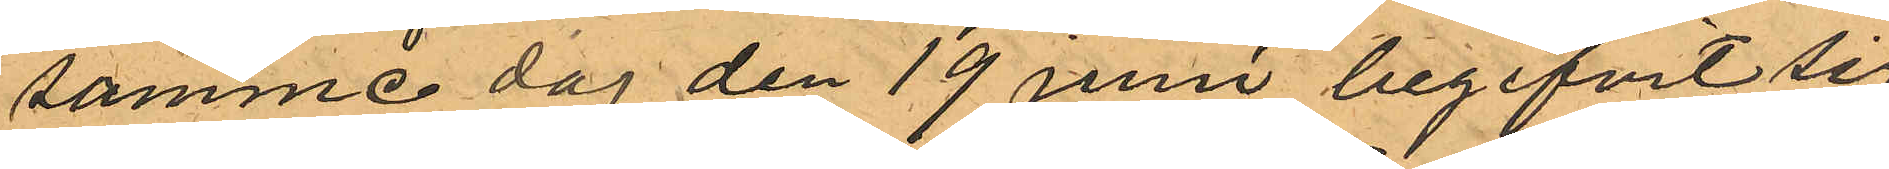samma dag den 19 juni begifvit sig
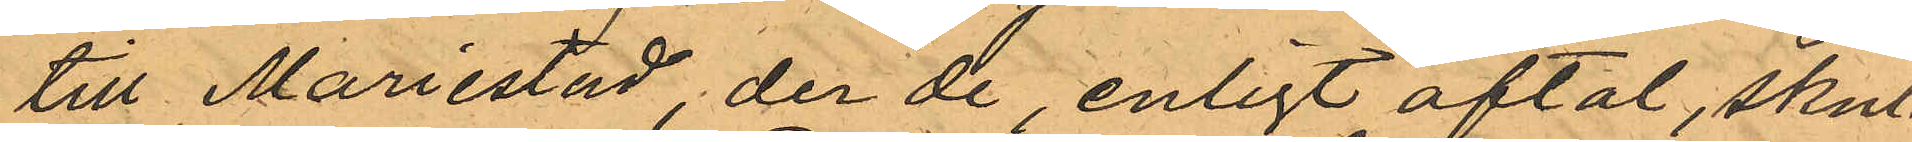till Mariestad, der de, enligt aftal, skul¬
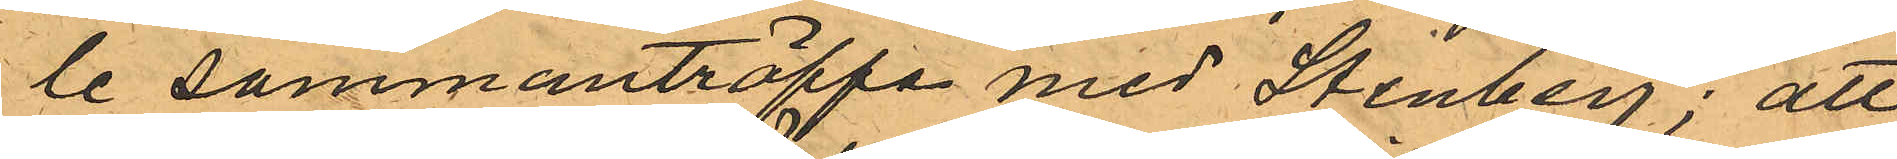le sammanträffa med Stenberg; att
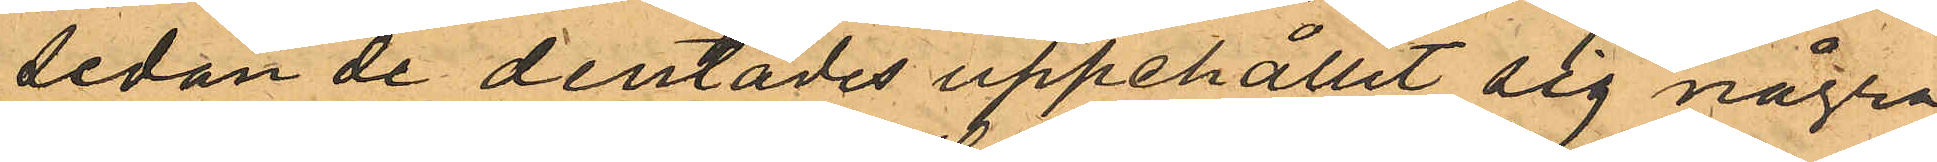sedan de derstädes uppehållit sig några
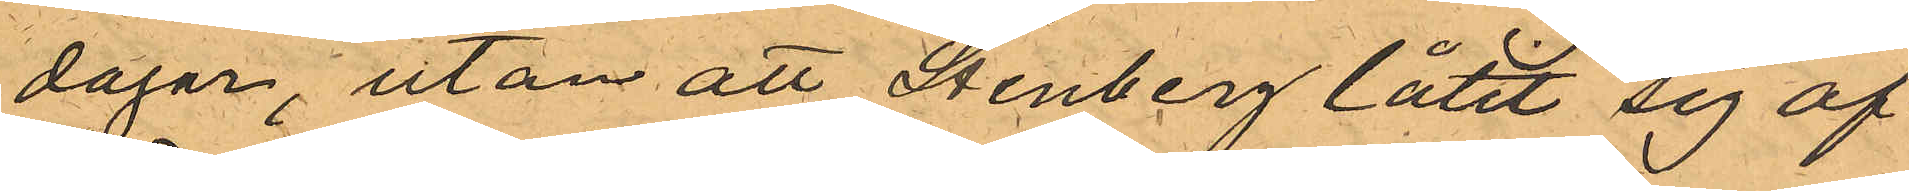dagar, utan att Stenberg låtit sig af¬
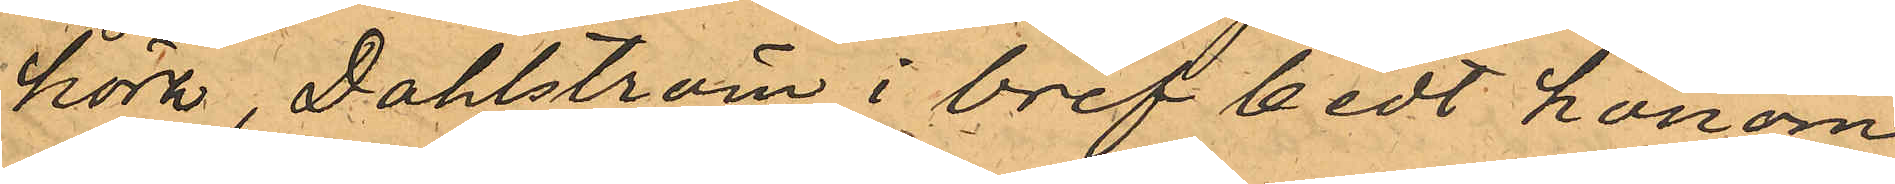höra, Dahlström i bref bedt honom
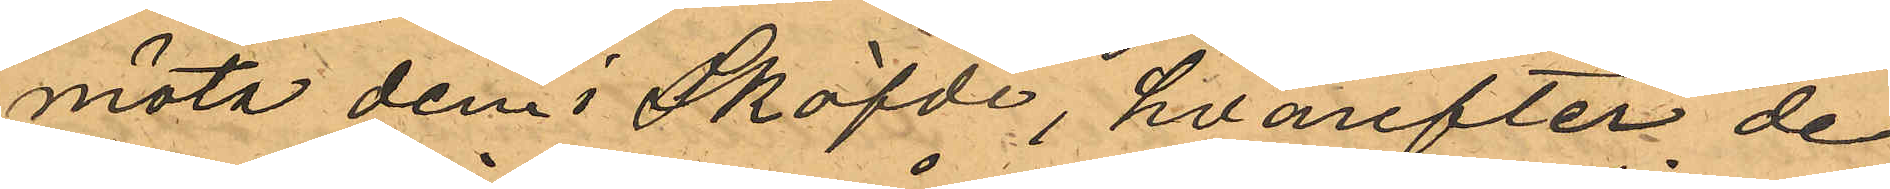möta dem i Sköfde, hvarefter de
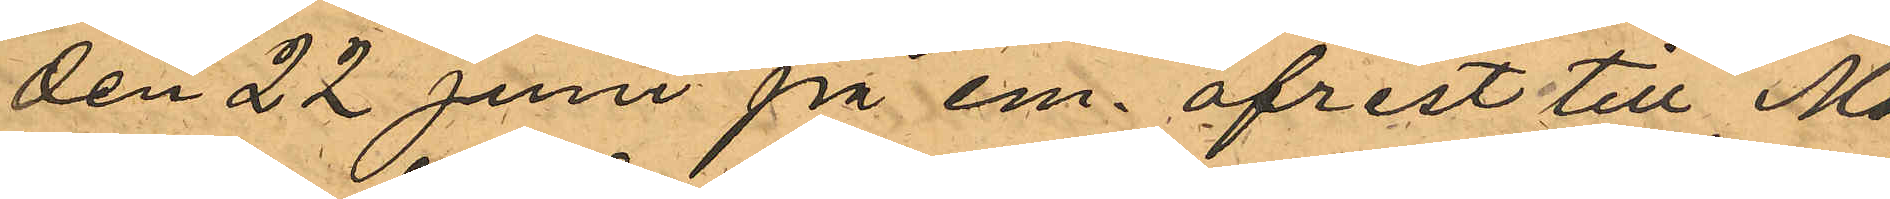den 22 Juni på em. afrest till Mo¬
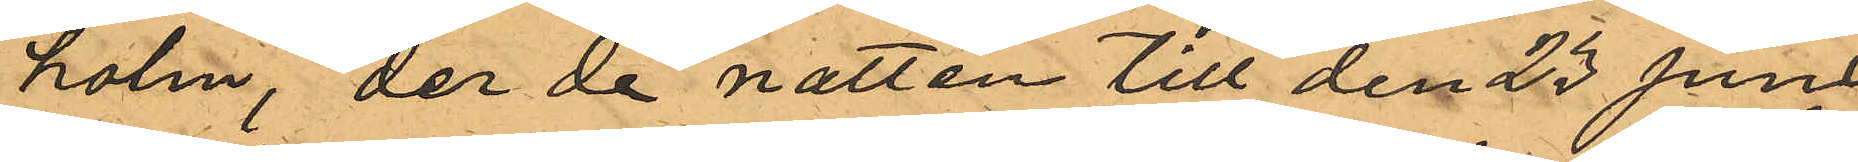holm, der de natten till den 23 Juni,
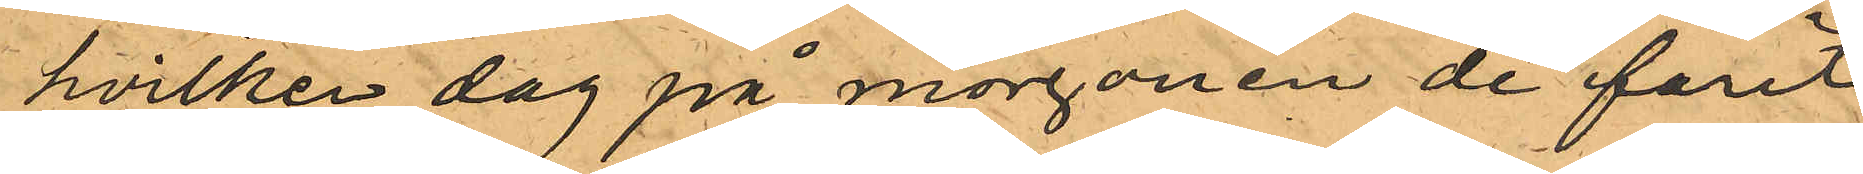hvilken dag på morgonen de farit
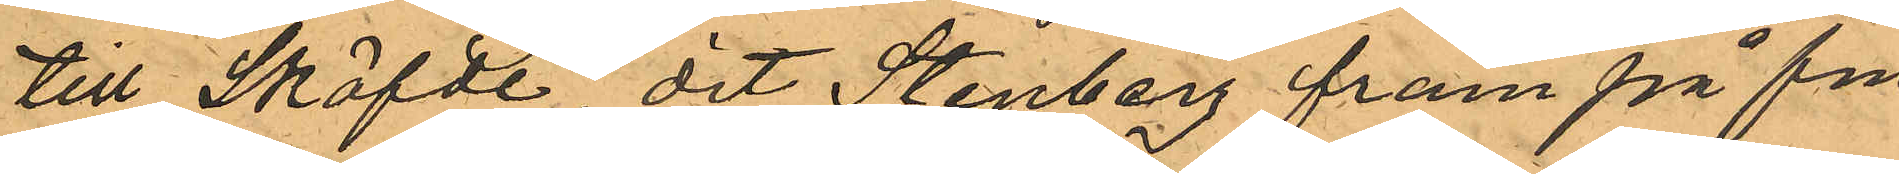till Sköfde, dit Stenberg fram på fm.
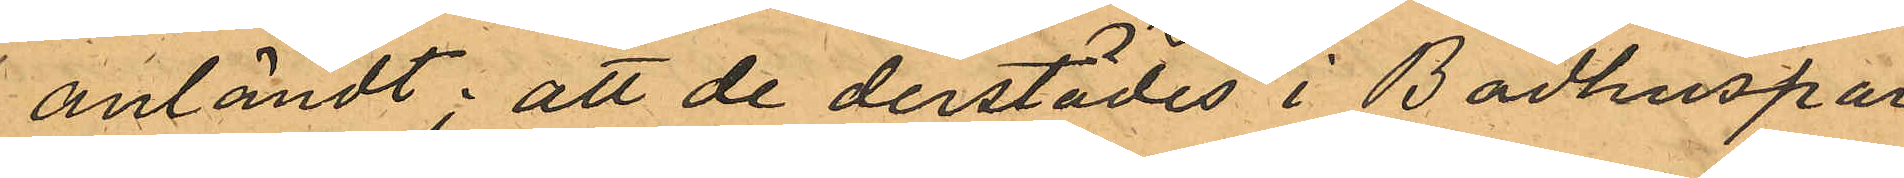anländt; att de derstädes i Badhuspar¬
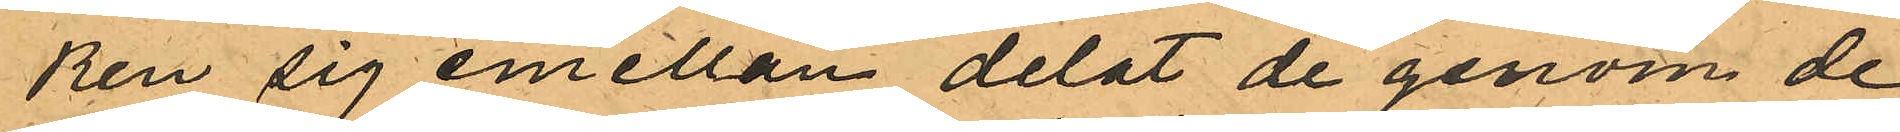ken sig emellan delat de genom de
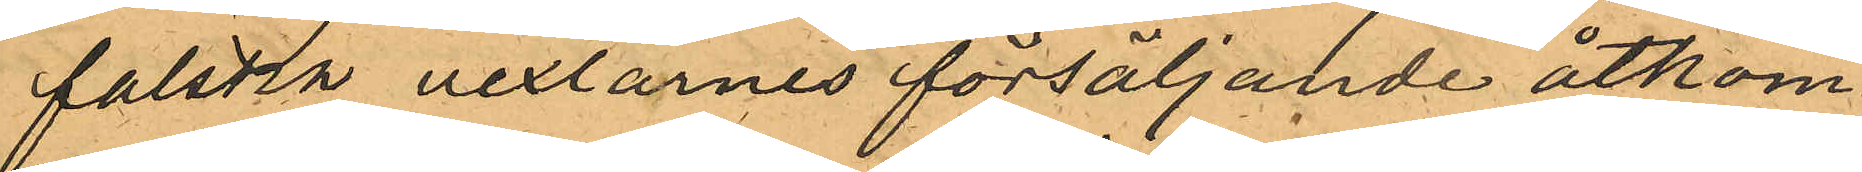falsta vexlarnes försäljande åtkom¬
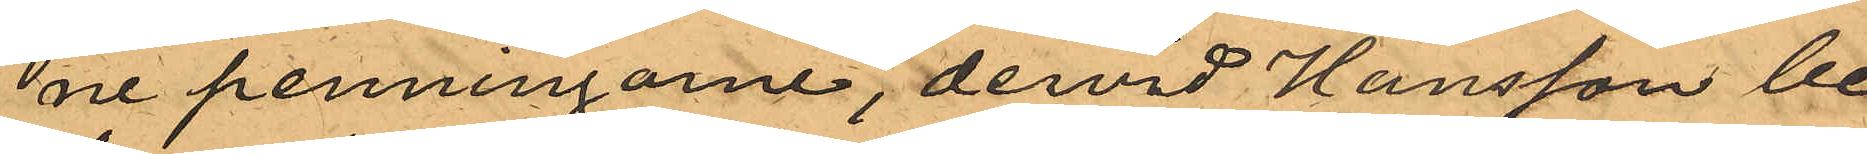ne penningarne, dervid Hansson be¬
